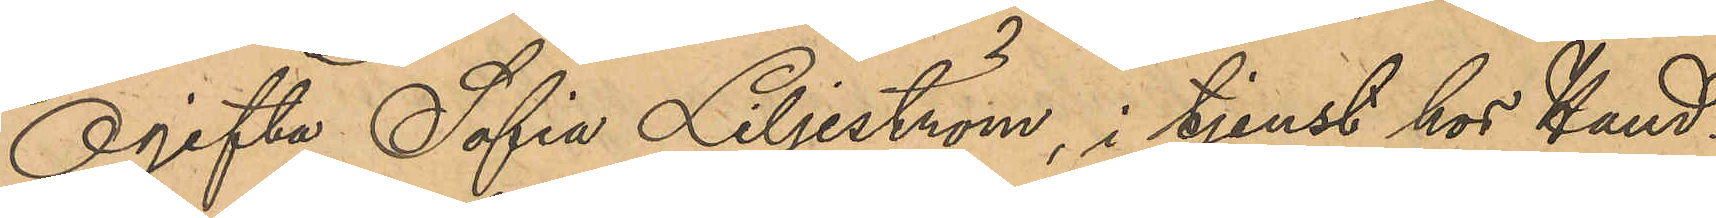Ogifta Sofia Liljeström, i tjenst hos Hand¬
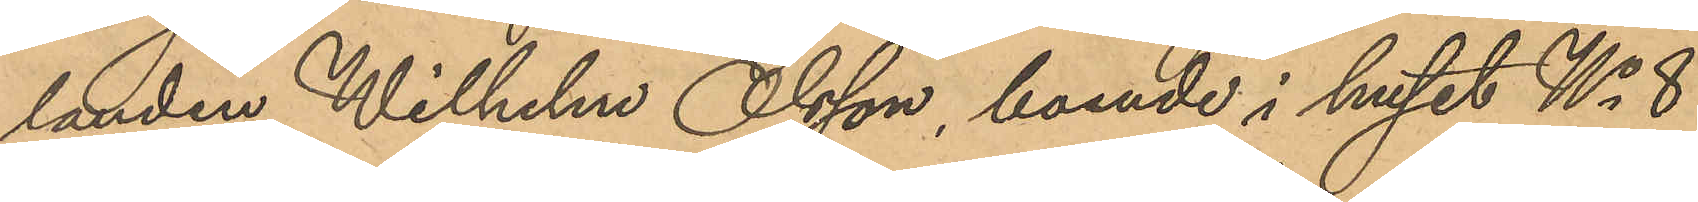landen Wilhelm Olsson, boende i huset No 8
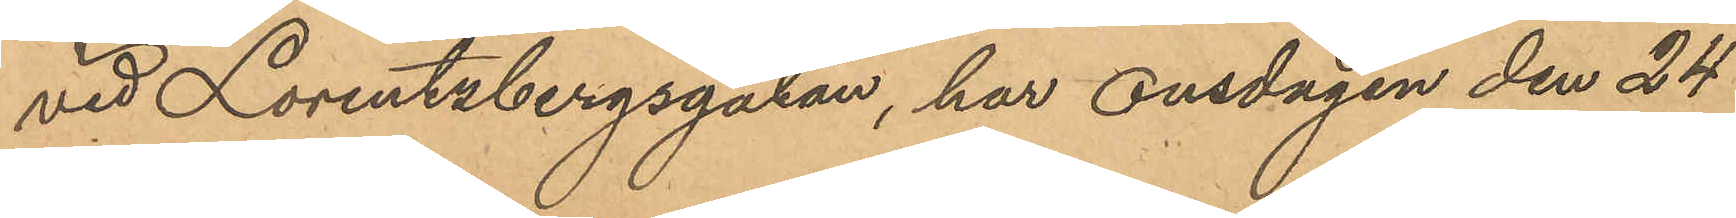vid Lorentzbergsgatan, har onsdagen den 24
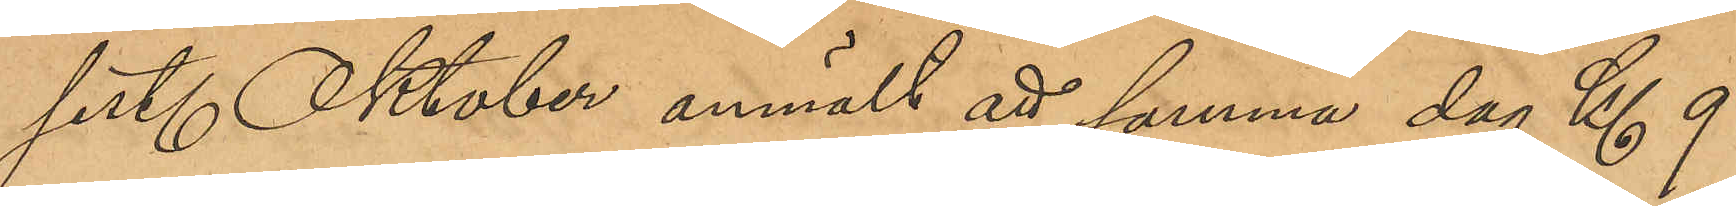sist. Oktober anmält att samma dag Kl 9
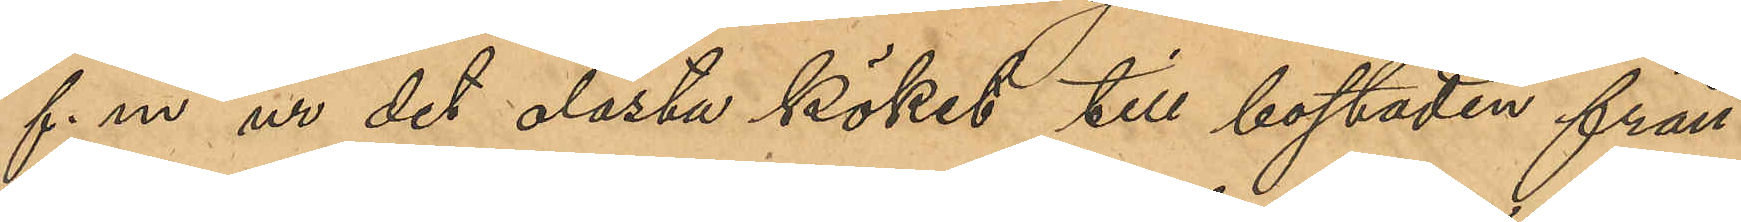f.m ur det olåsta köket till bostaden från
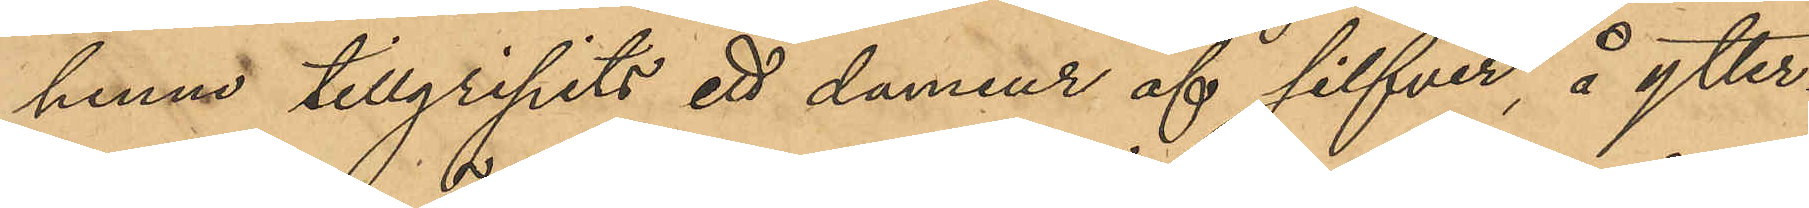henne tillgripits ett damur af silfver, å ytter¬
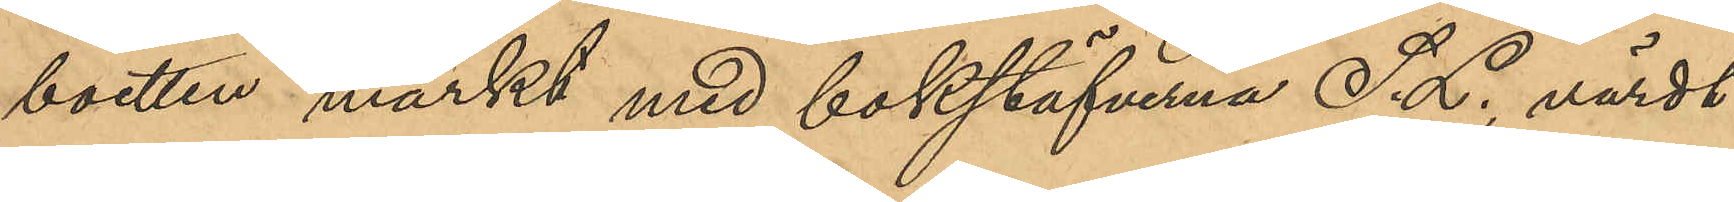boetten märkt med bokstäfverna S.L., värdt
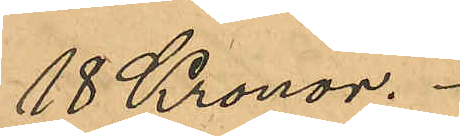18 Kronor.
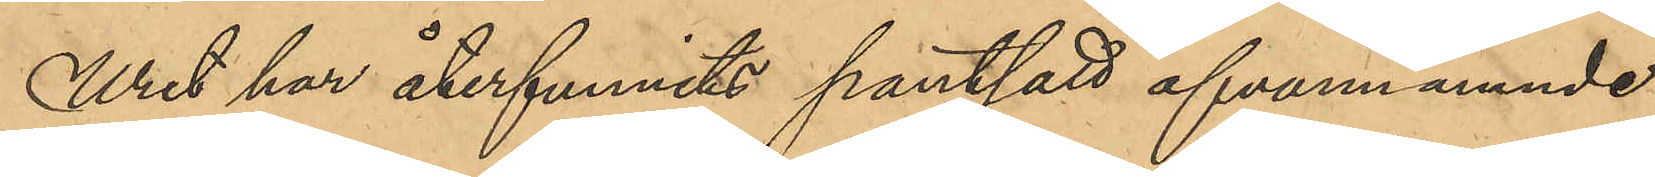Uret har återfunnits pantsatt ofvannämnde 
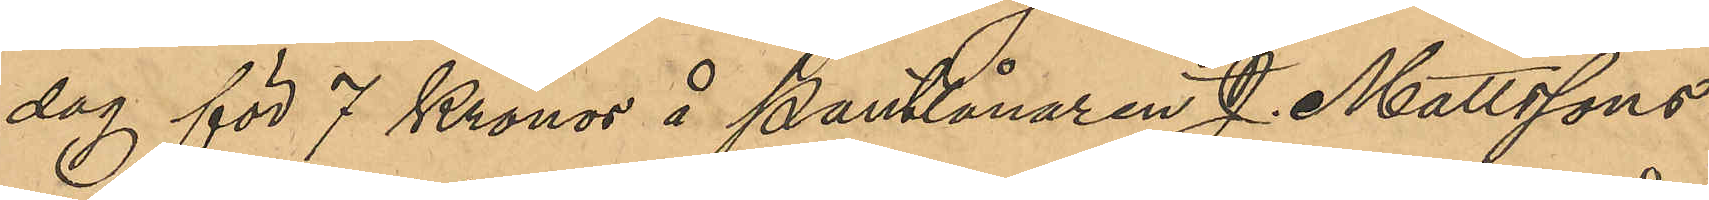dag för 7 Kronor å Pantlånaren J. Mattsons
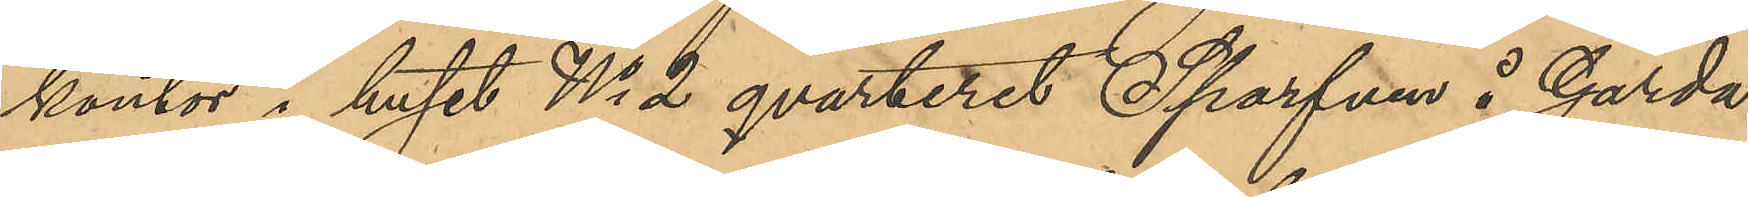kontor i huset No 2 qvarteret Sparfven å Gårda
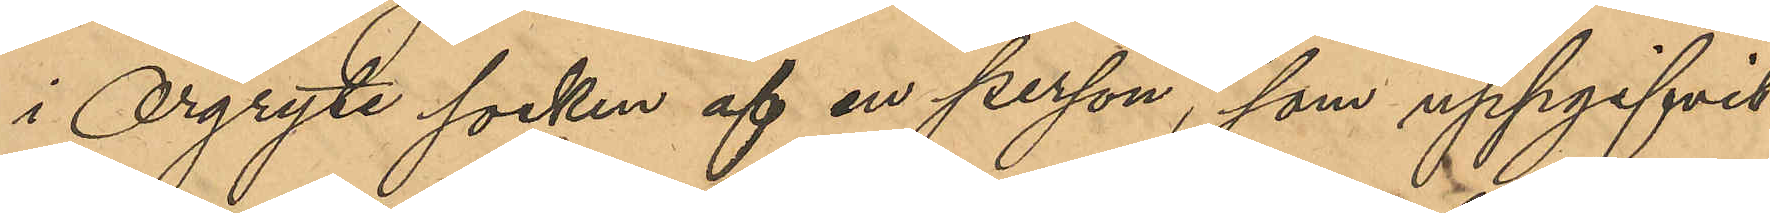i Orgryte socken af en person, som uppgifvit
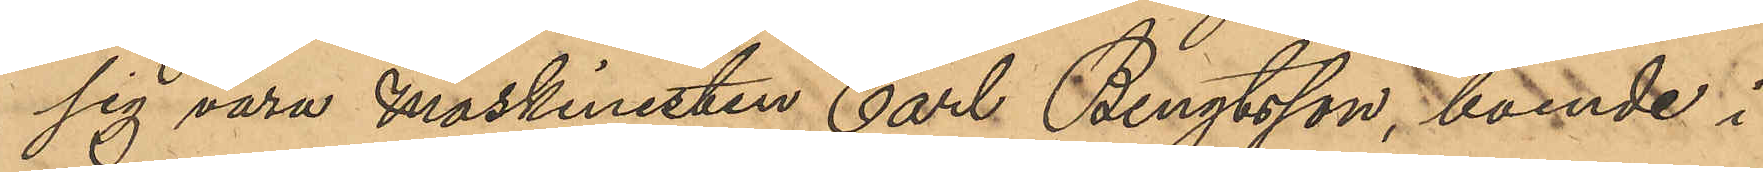sig vara maskinisten Carl Bengtsson, boende i
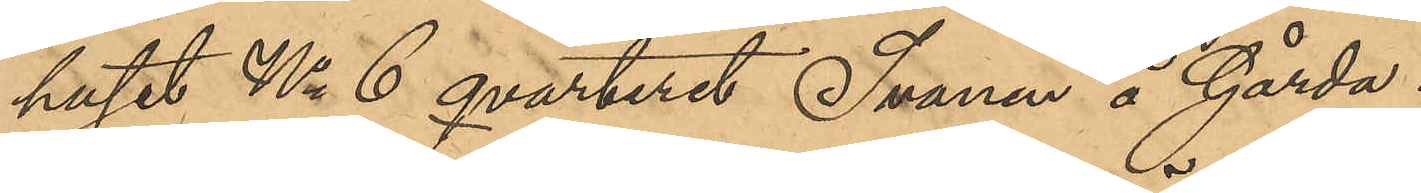huset No 6 qvarteret Svanen å Gårda.
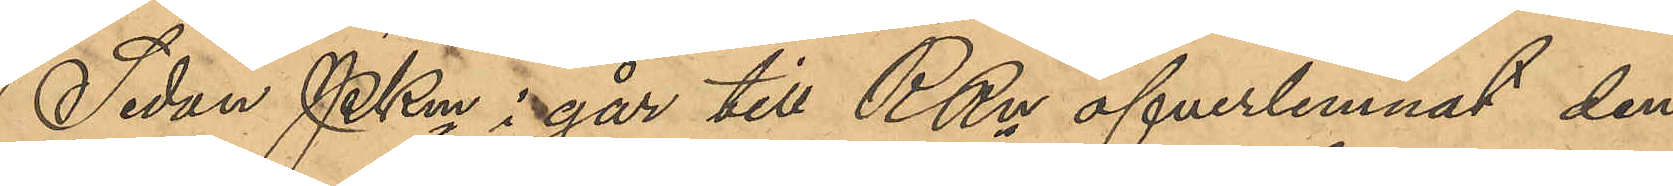Sedan  PKmn i går till RRn öfverlemnat den
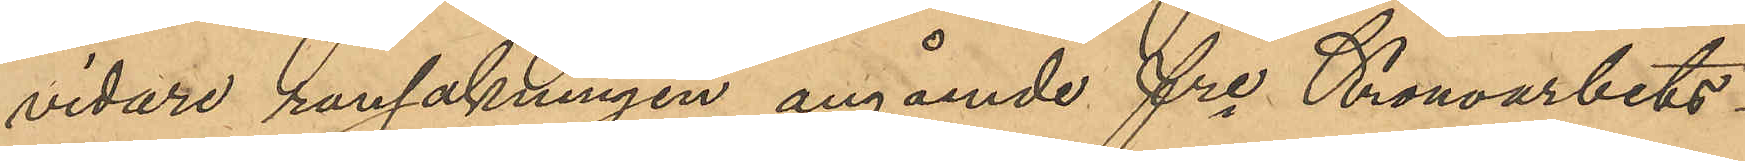vidare ransakningen angående fre Kronoarbets¬
